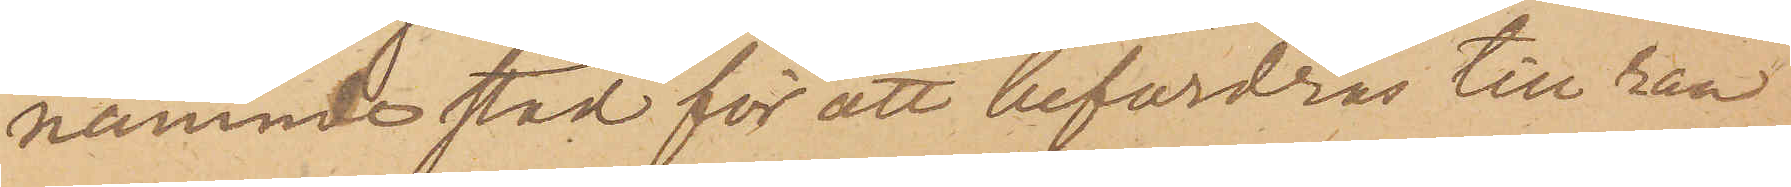nämnde stad för att befordras till ran¬
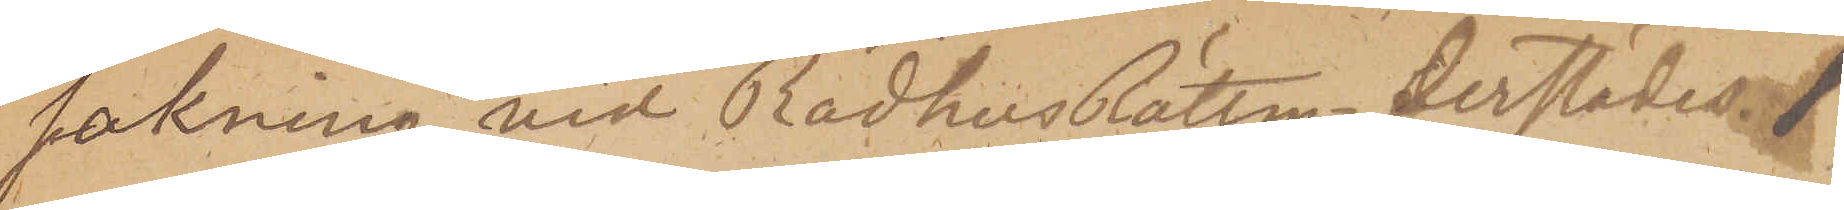sakning vid RådhusRätten derstädes.
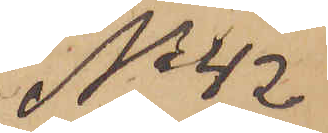No 42
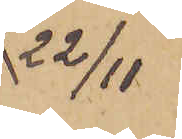22/11
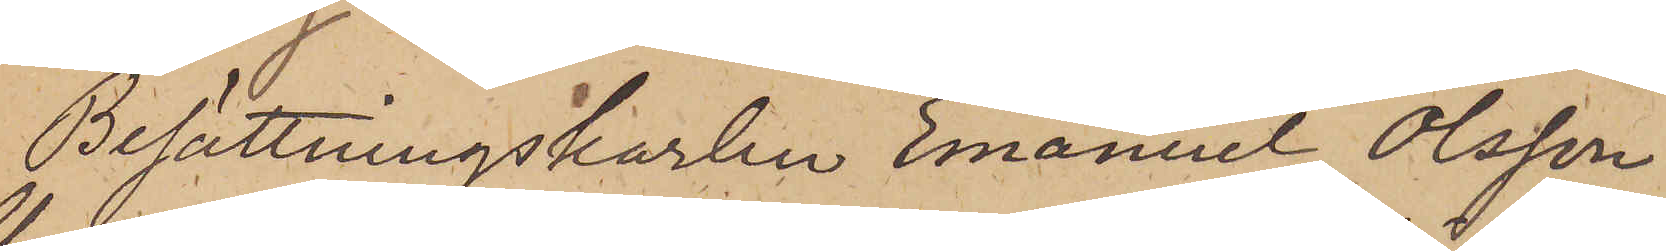Besättningskarlen Emanuel Olsson
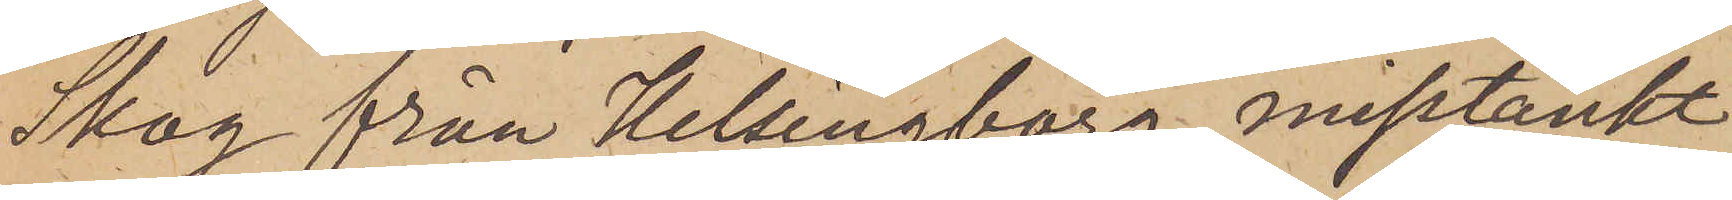Skog från Helsingborg, misstänkt
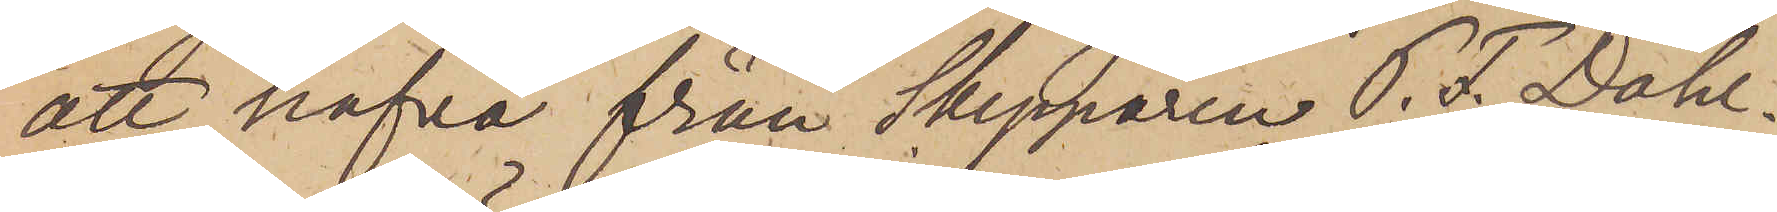att hafva från Skepparen P. F. Dahl¬
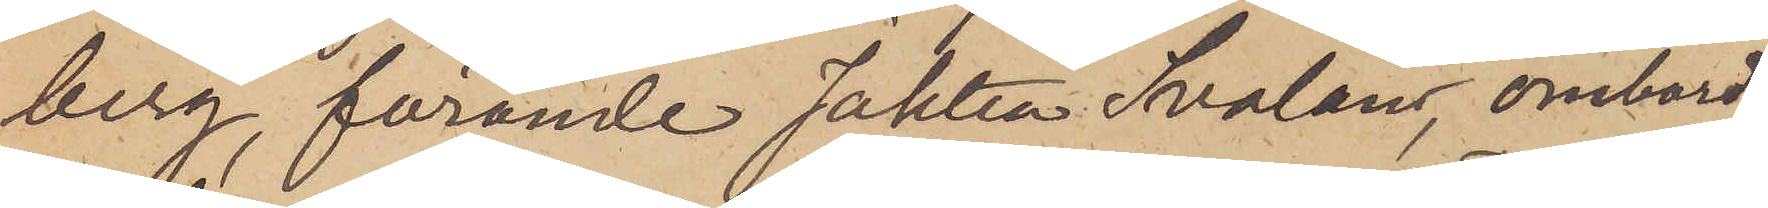berg, förande Jakten Svalan, ombord
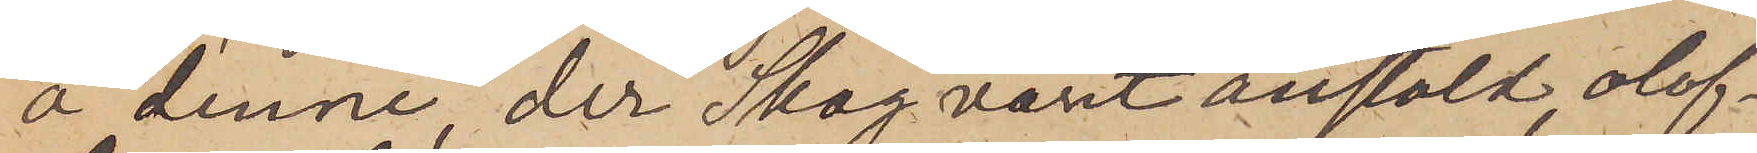å denne, der Skog varit anstäld, olof¬
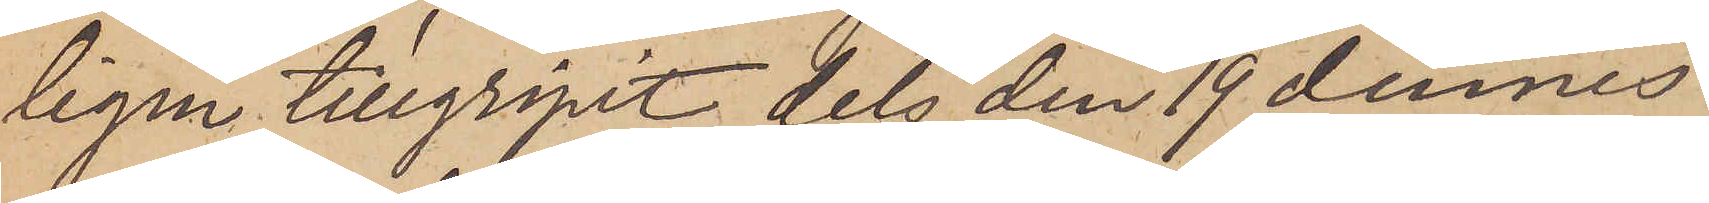ligen tillgripit dels den 19 dennes
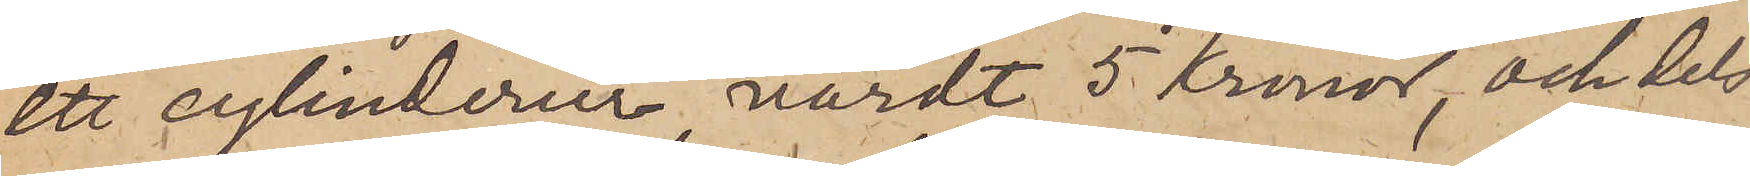ett cylinderur, värdt 5 kronor, och dels
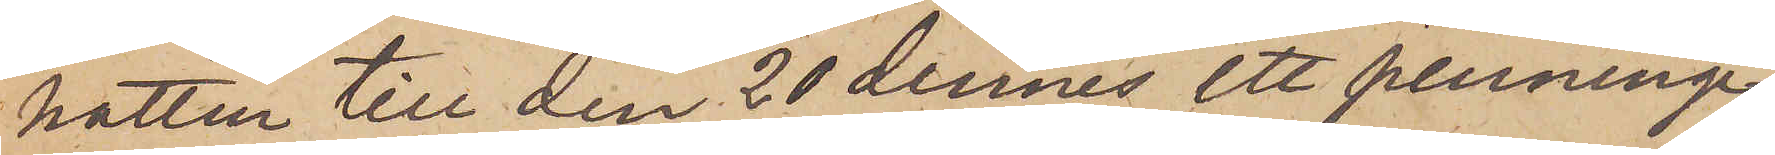natten till den 20 dennes ett penninge¬
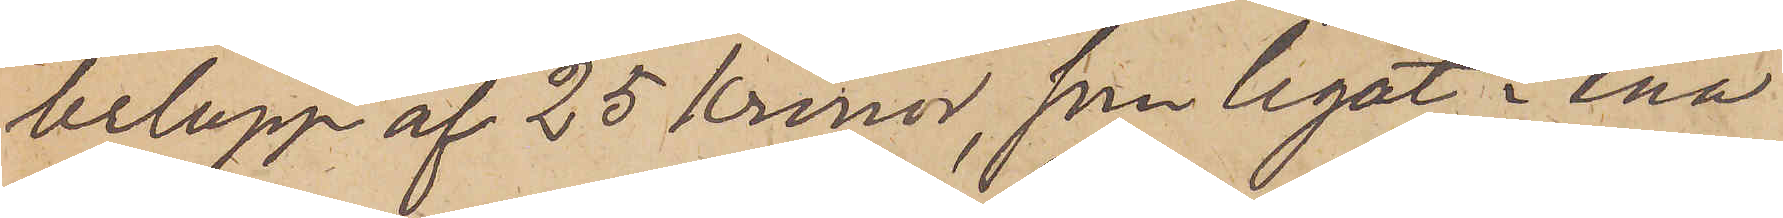belopp af 25 Kronor, som legat i ena
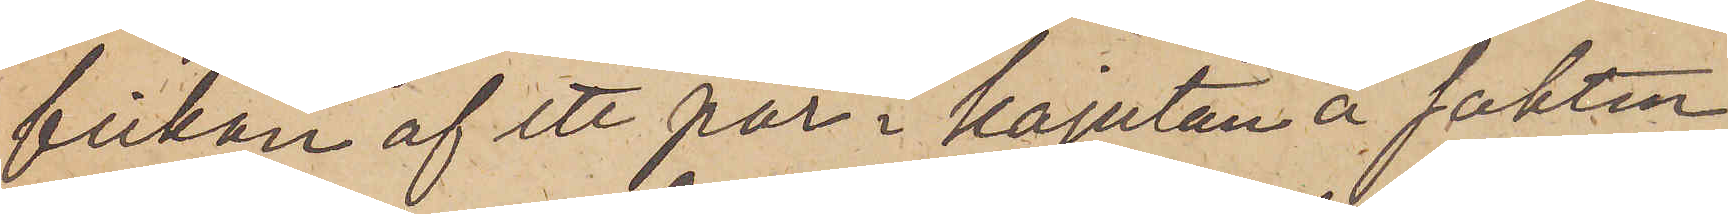fickan af ett par i kajutan å Jakten
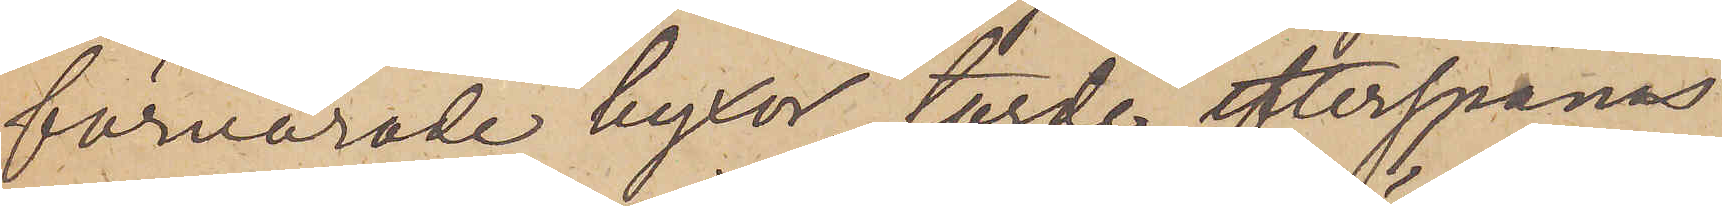förvarade byxor, torde efterspanas
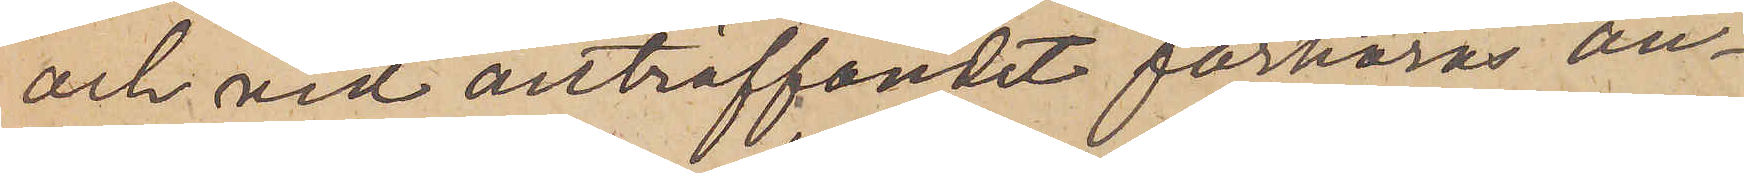och vid anträffandet förhöras an¬
